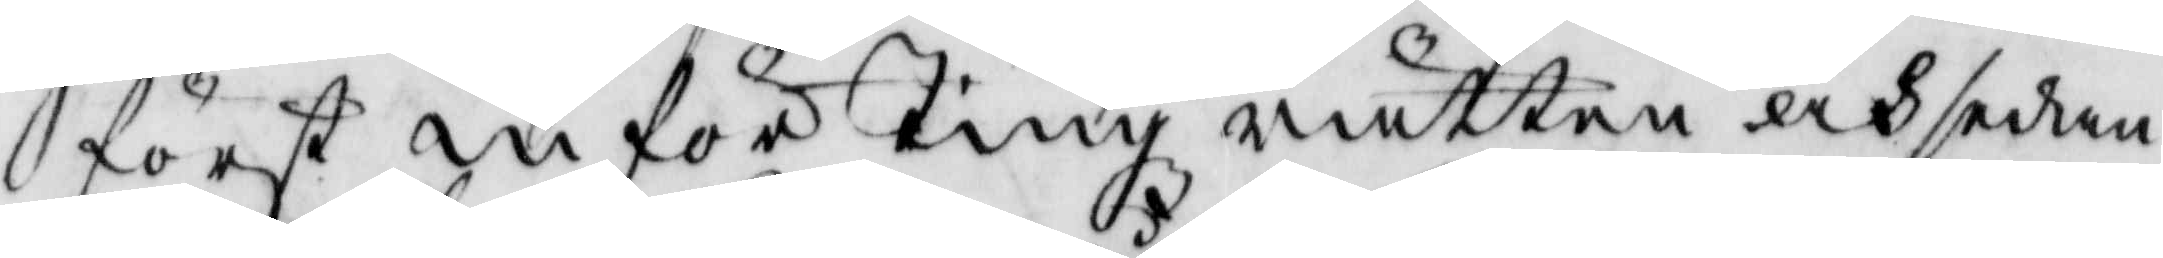först inför tingz rätten och sedan
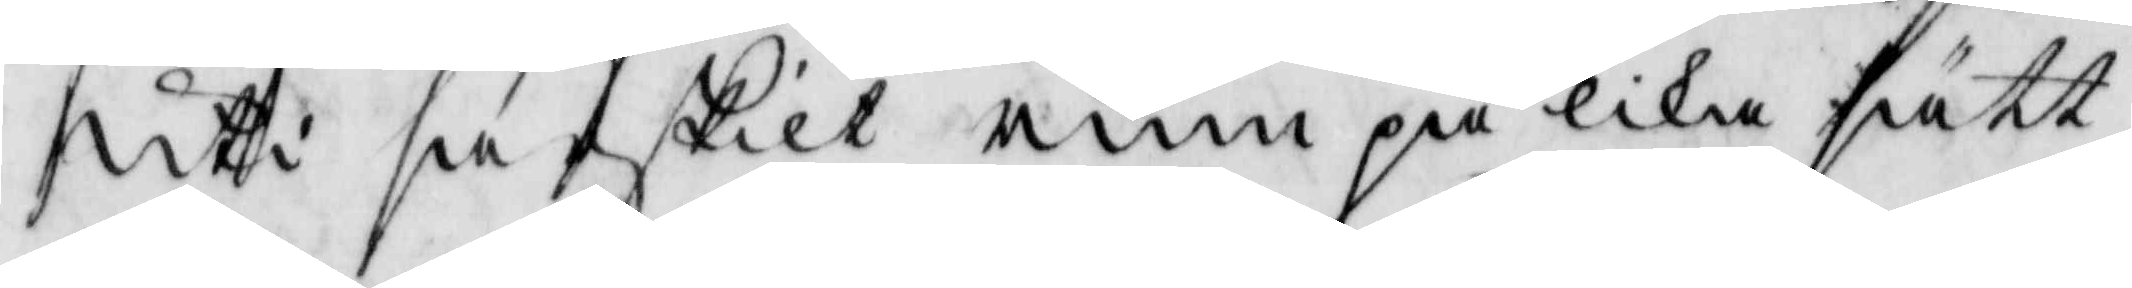uti särskilt rum på lika sätt
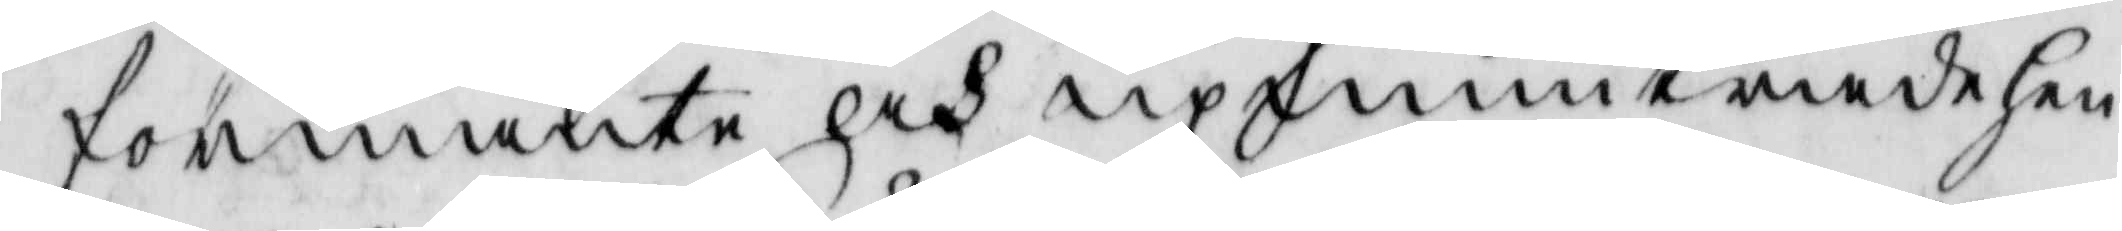förmante och upmuntrade hen¬
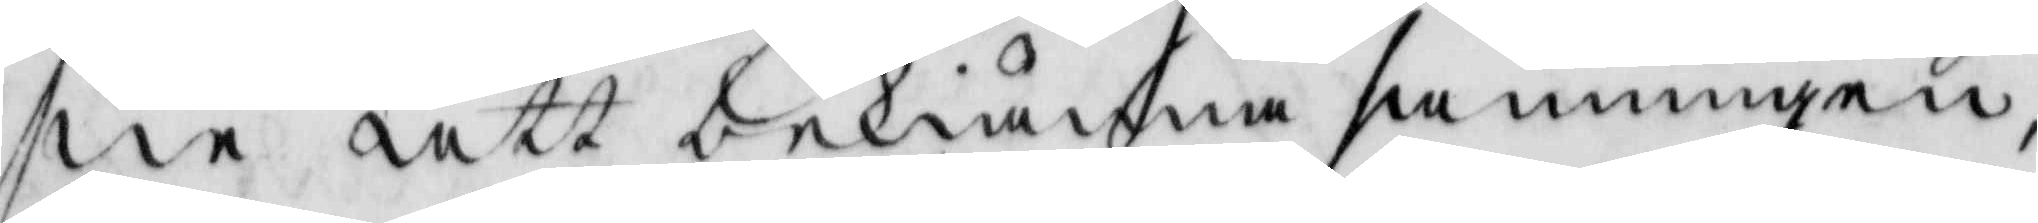ne att bekiänna sanningen,
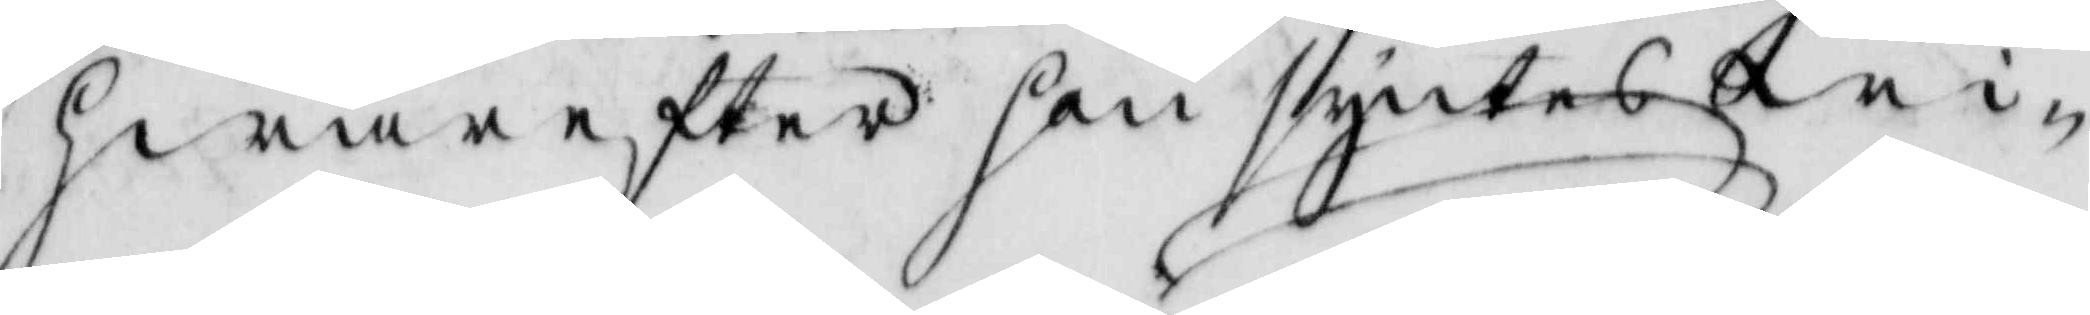hwarefter hon syntes wi¬
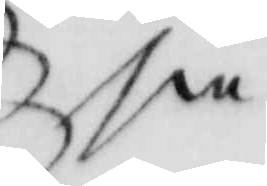sa
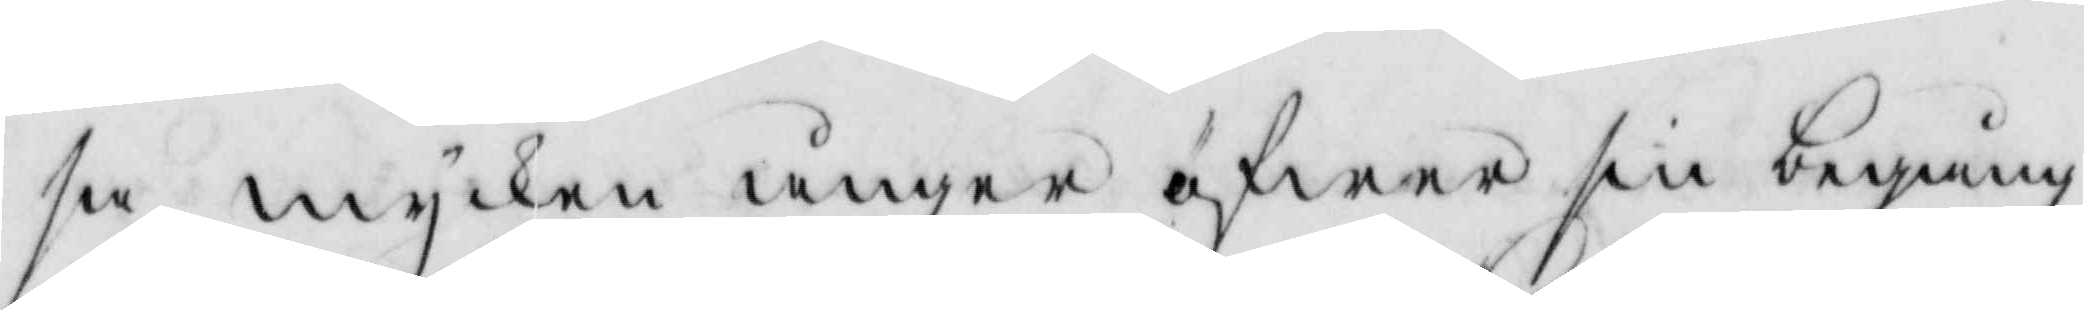sa mycken ånger öfwer sin begång¬
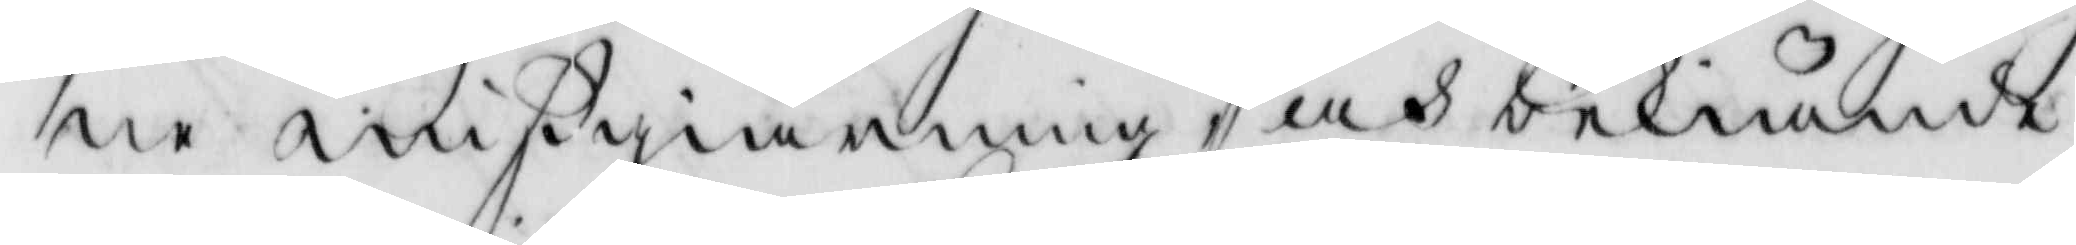ne mißgiärning och bekiände
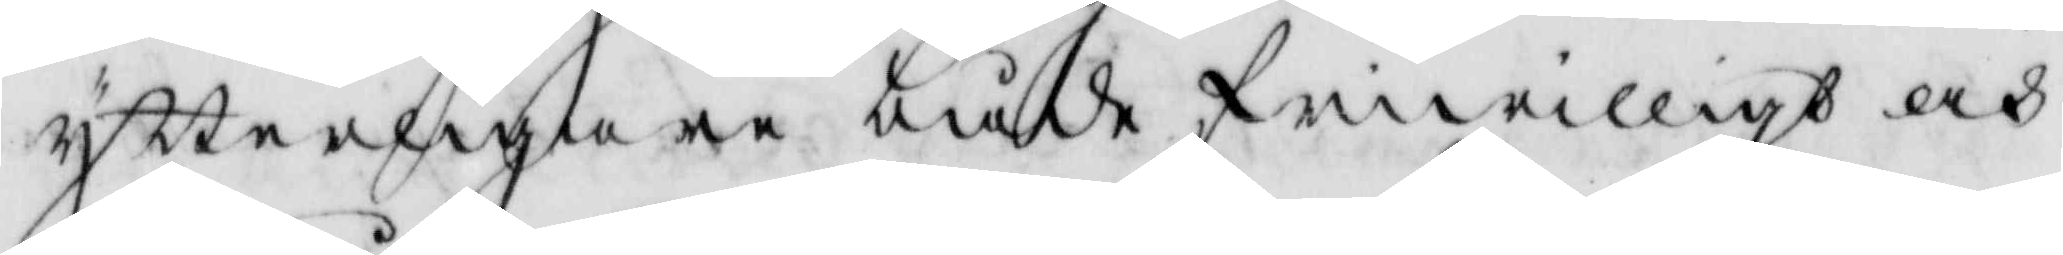ytterligare både friwilligt och
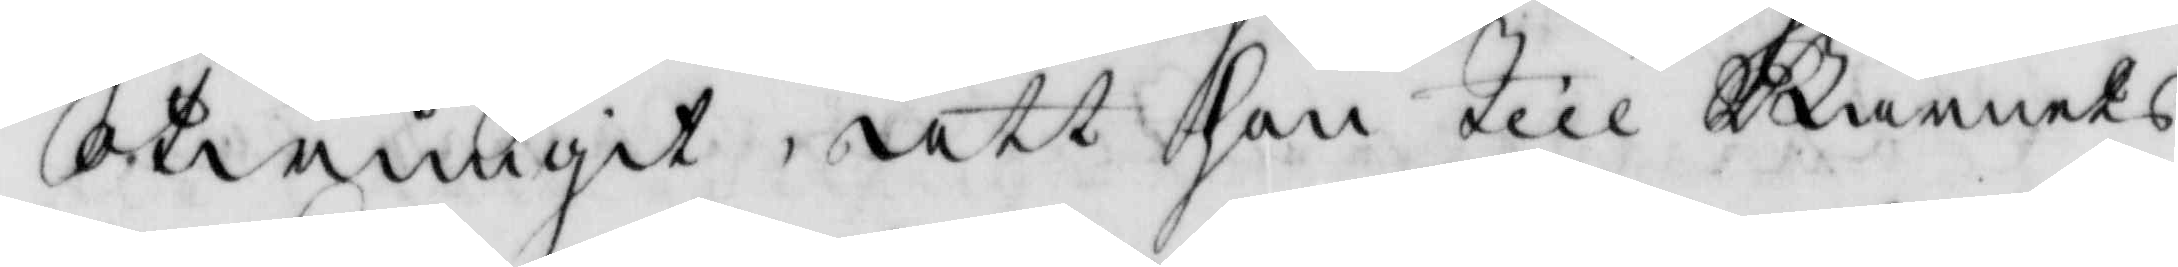otwunget, att hon till Barnets
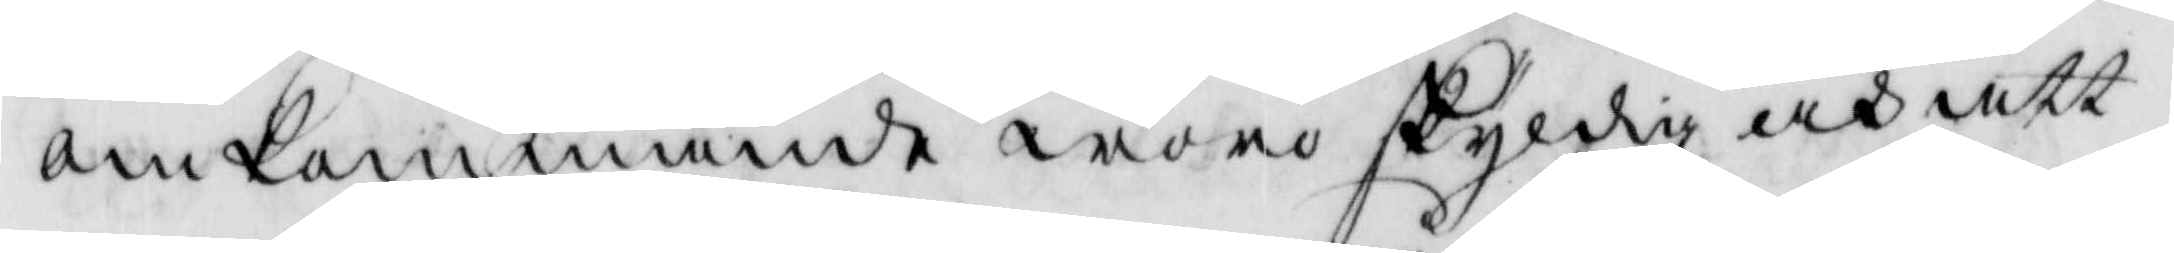omkommande woro skyldig och att 
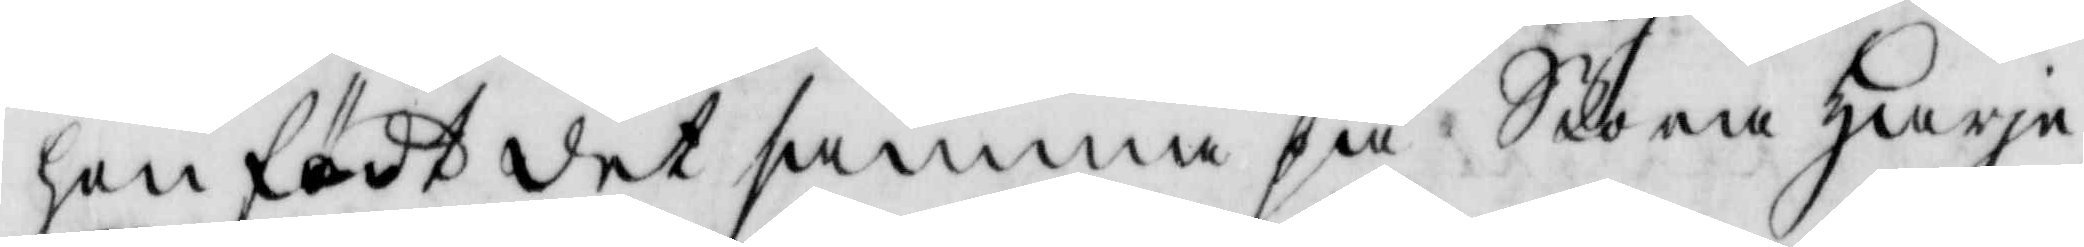hon födt det samma på Stora Harja
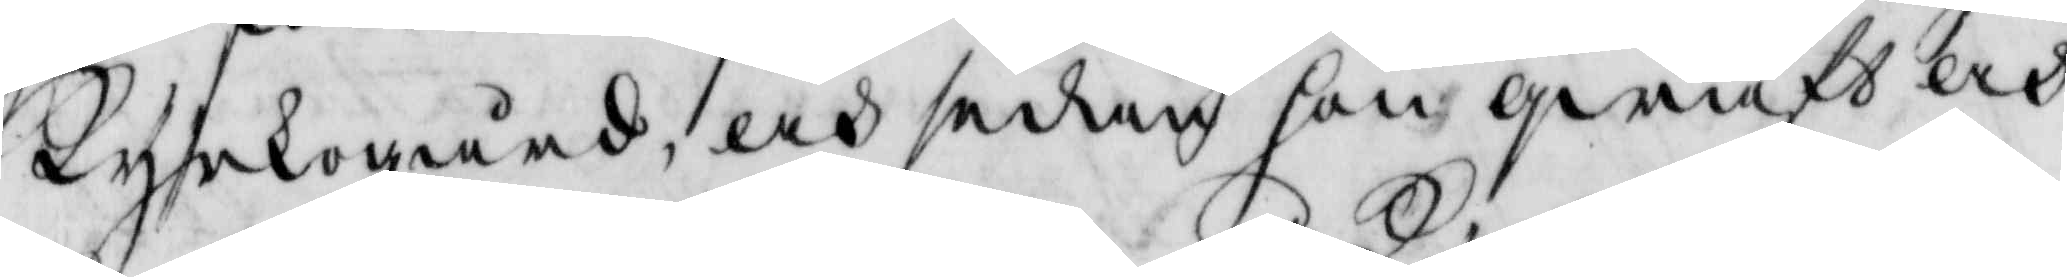kyrkogård, och sedan hon qwaft och
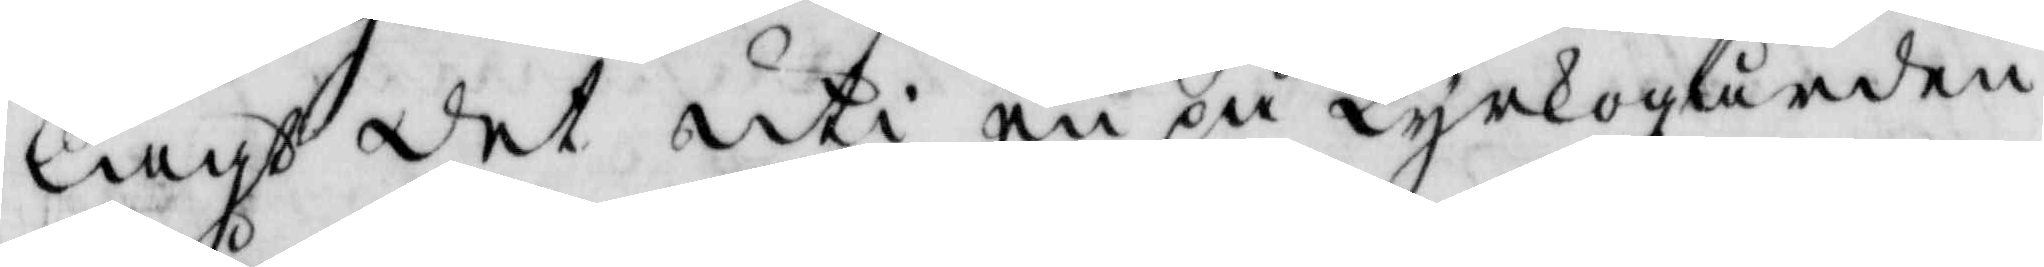lagt det uti en på Kyrkogården
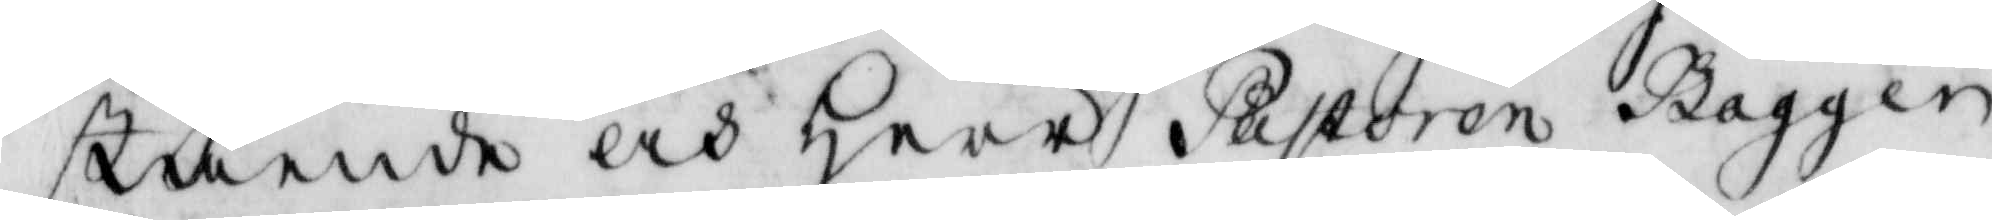stående Herr Pastoren bagger
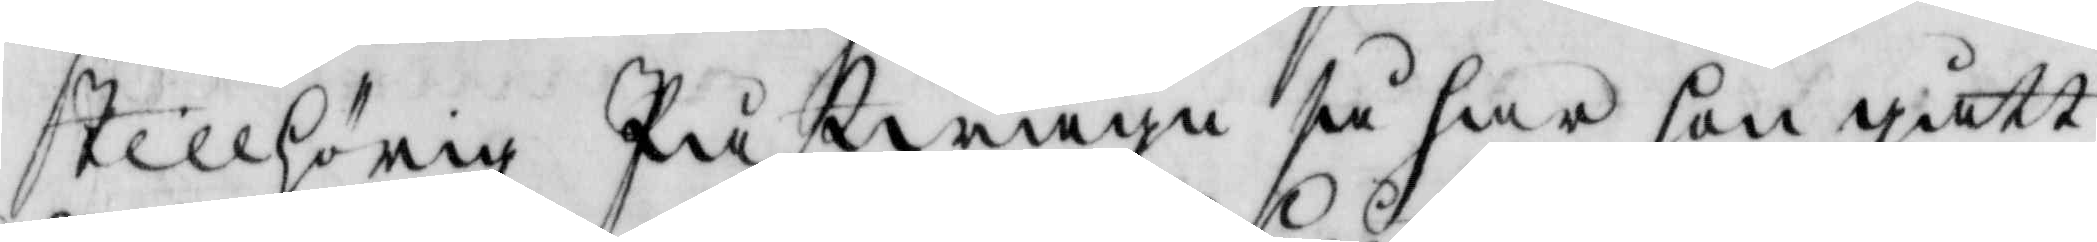tillhörig Påstwagn så har hon gått
